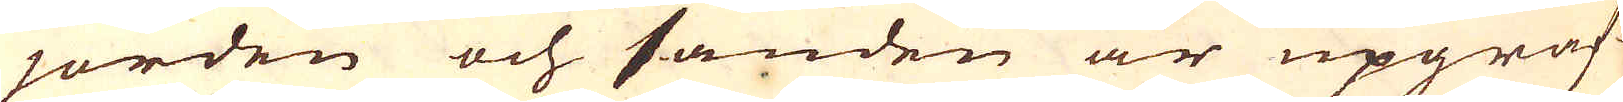jorden och sanden är upgräf-
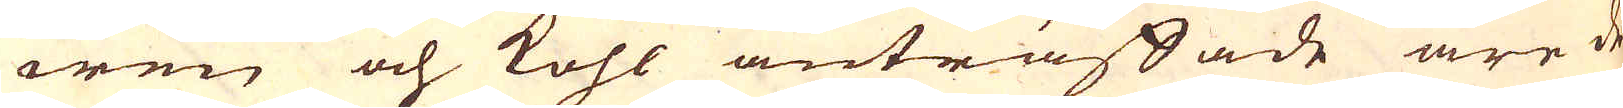wen och kohl anträffade äre de
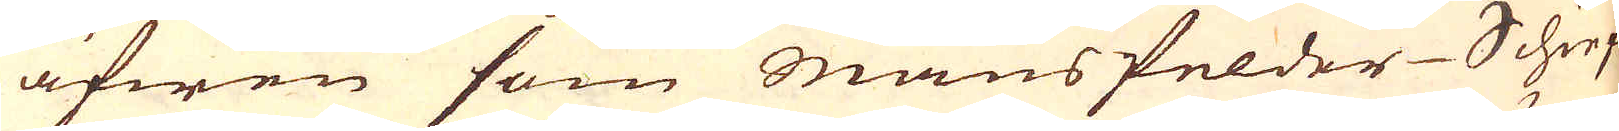äfwen som mans felder-Schiefer
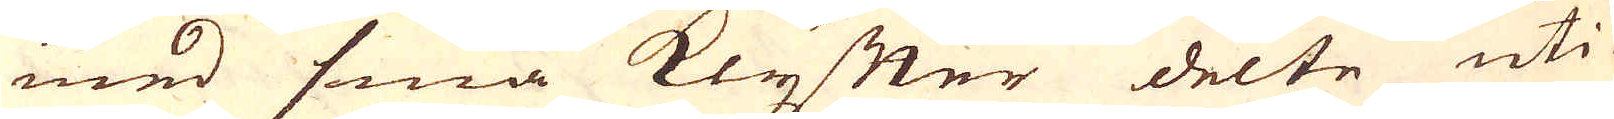med små klyfter delte uti
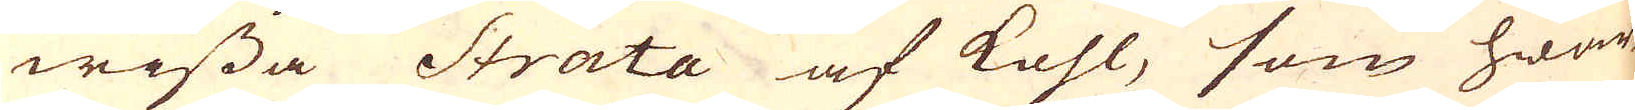wissa Strata af kohl, som hwar-
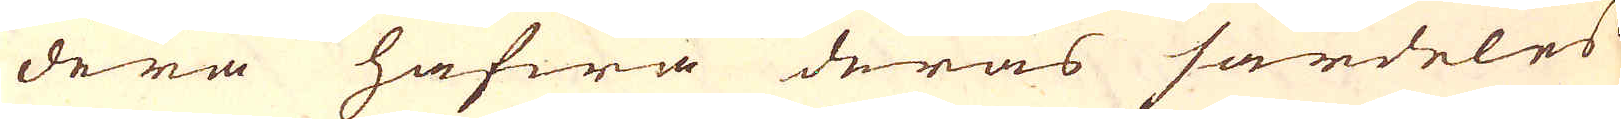dera hafwa deras särdeles
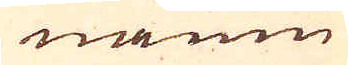namn
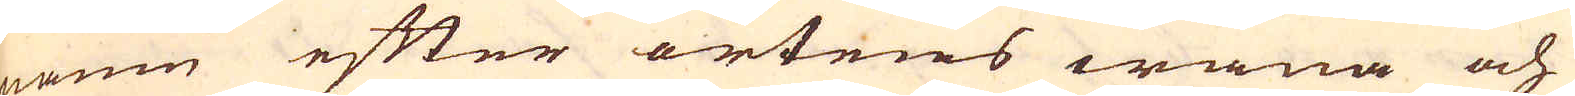namn efter ortens wana och
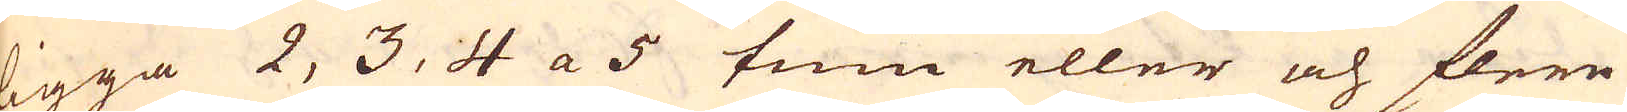ligga 2, 3, 4 a 5 tum eller och flere
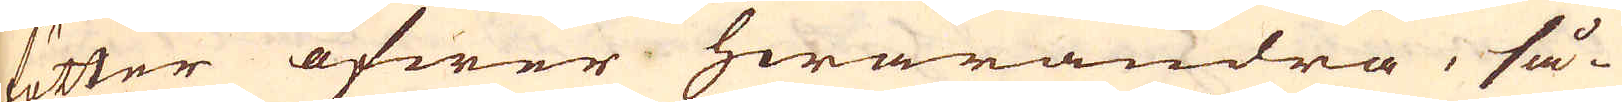fötter öfwer hwarandra, så-
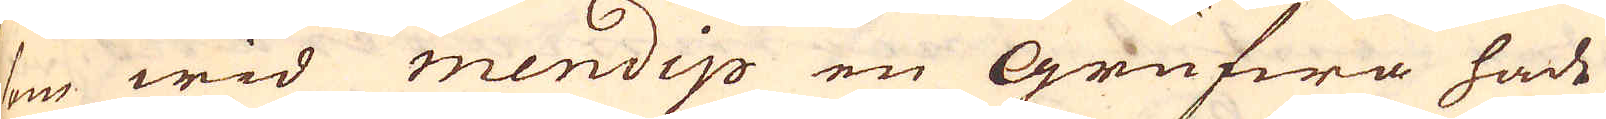som wid mendip en Grufwa hade
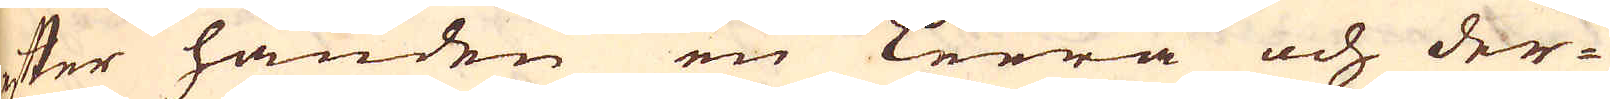efter handen en Leera och der-
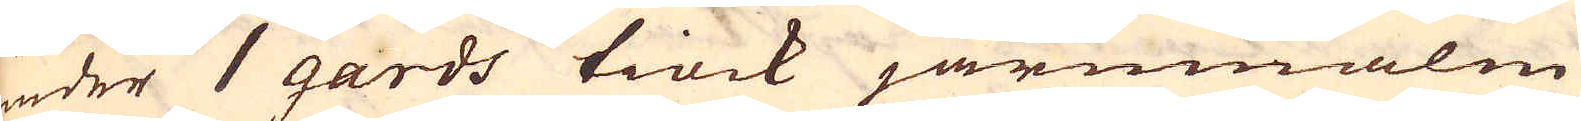under 1 gards tiock järnmalm
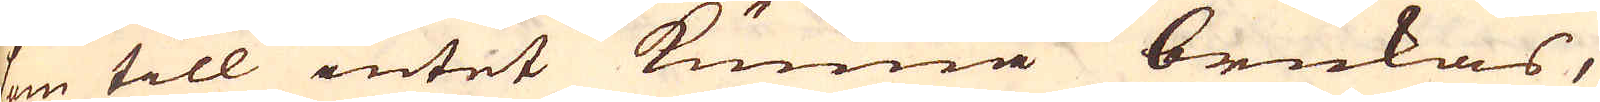som till intet kunna brukas,
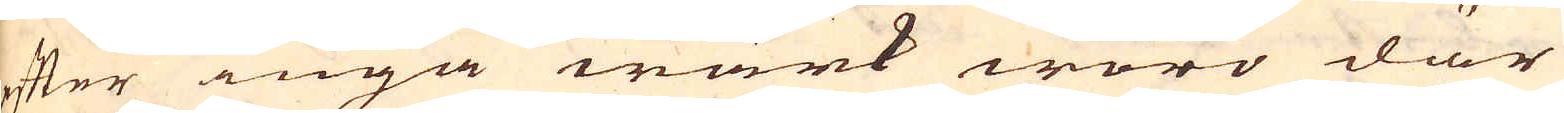efter inga wärk woro där
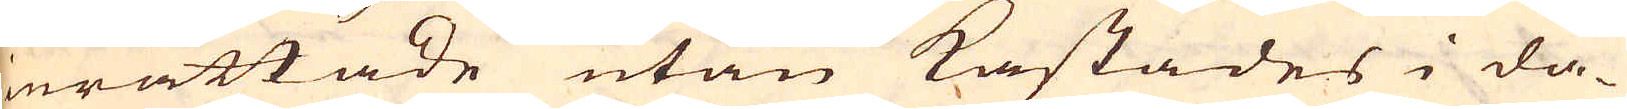inrättade utan kastades i da-
